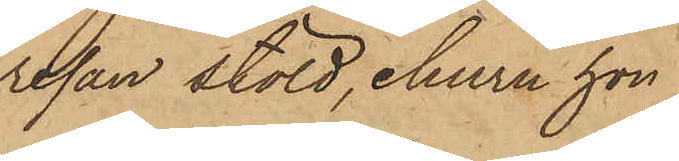resan stöld, ehuru hon
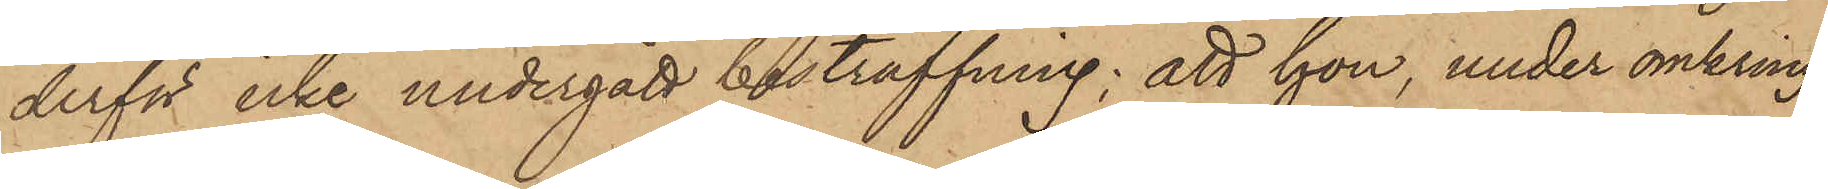derför icke undergått bestraffning; att hon, under omkring
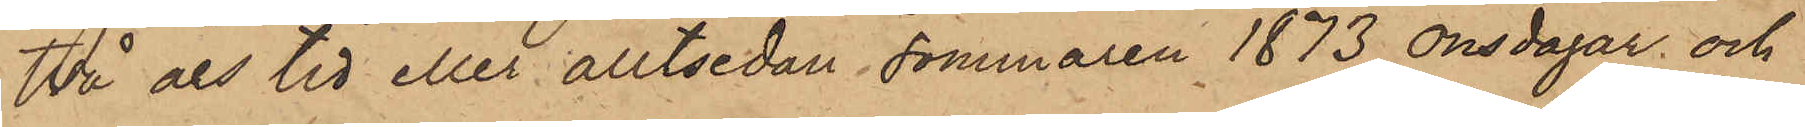två års tid eller alltsedan sommaren 1873 onsdagar och
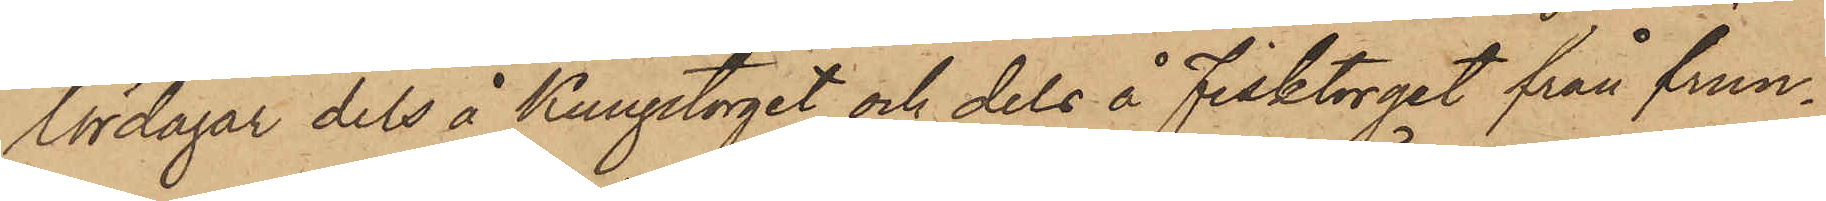lördagar dels å Kungstorget och dels å Fisktorget från frun¬
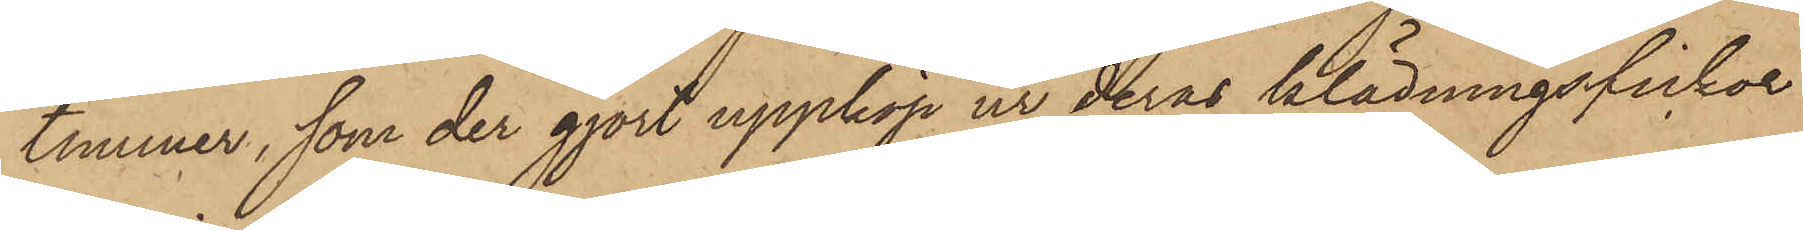timmer, som der gjort uppköp, ur deras klädningsfickor
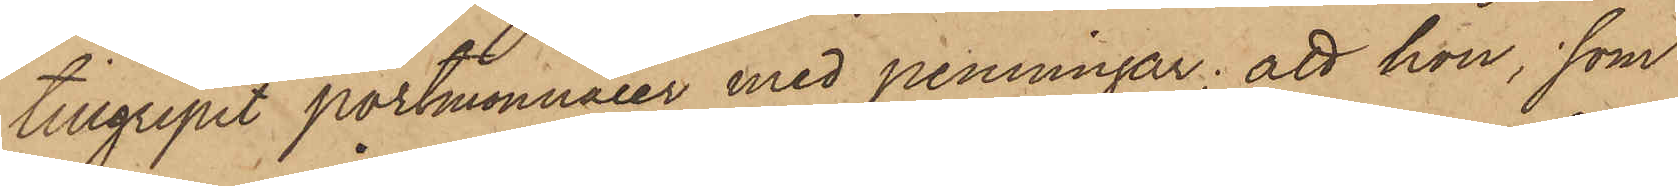tillgripit portmonnaier med penningar; att hon, som
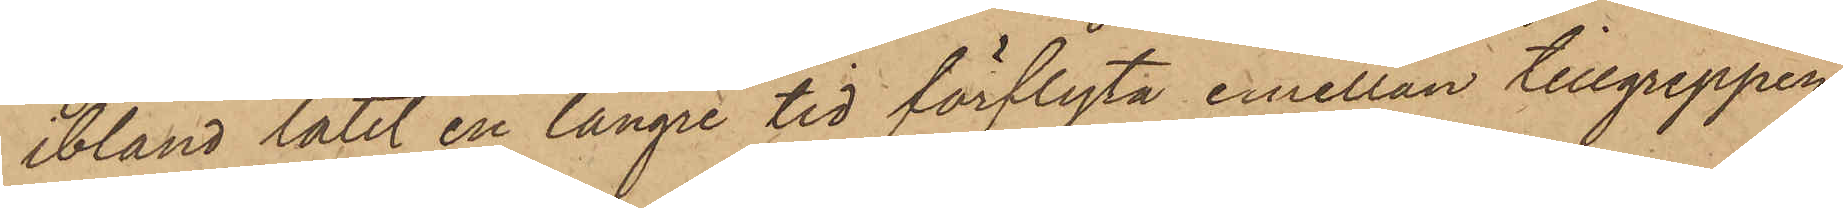ibland låtit en längre tid förflyta emellan tillgreppen,
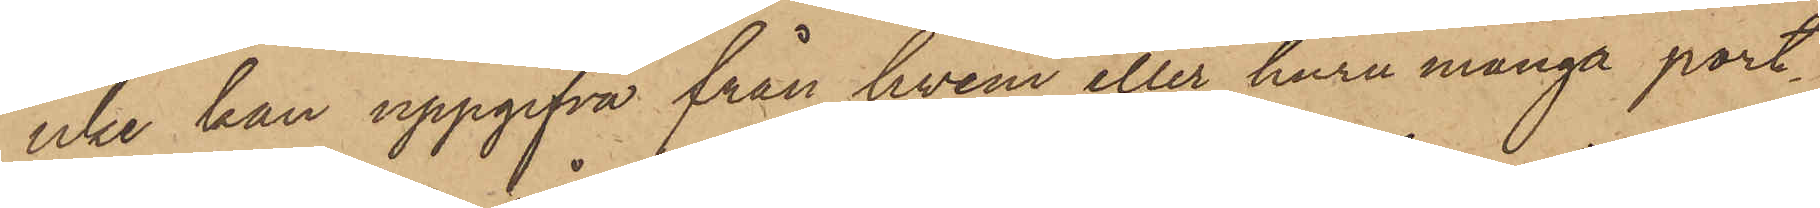icke han uppgifva från hvem eller huru många port¬
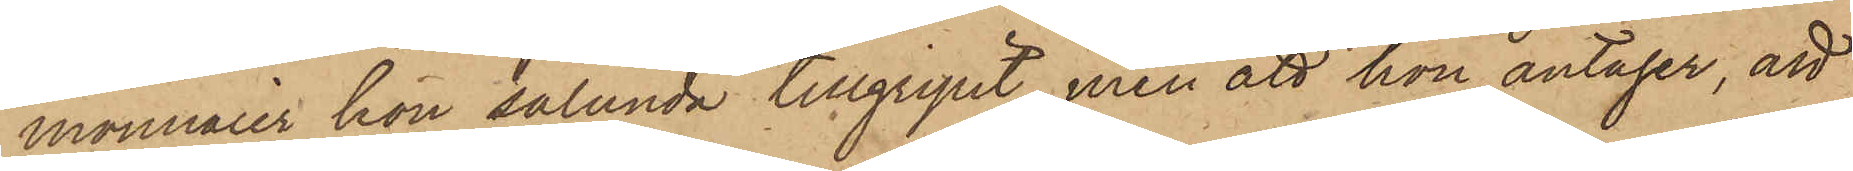monnaier hon sålunda tillgripit, men att hon antager, att
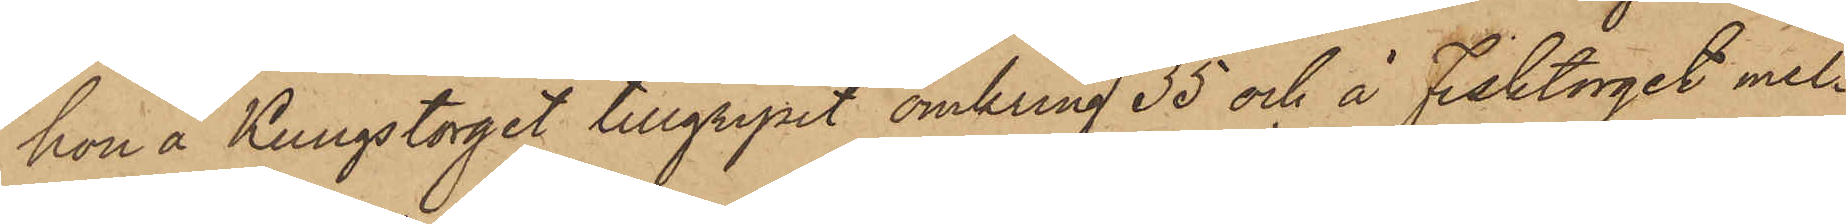hon å Kungstorget tillgripit omkring 35 och å Fisktorget mel¬
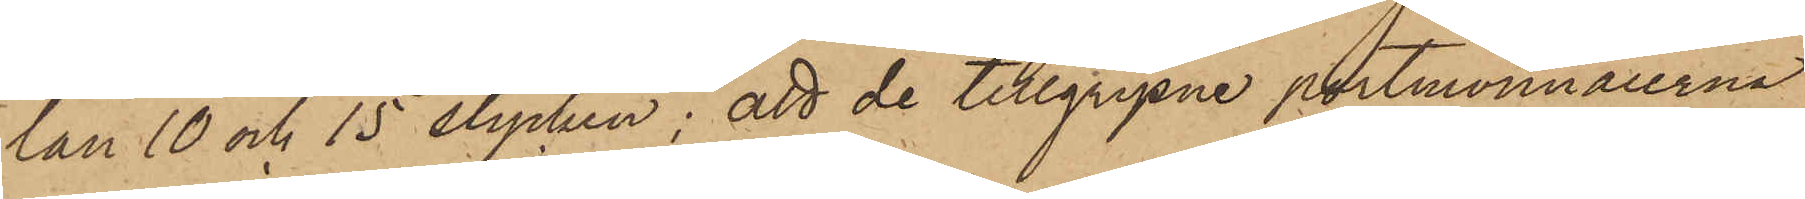lan 10 och 15 stycken; att de tillgripne portmonnaierna
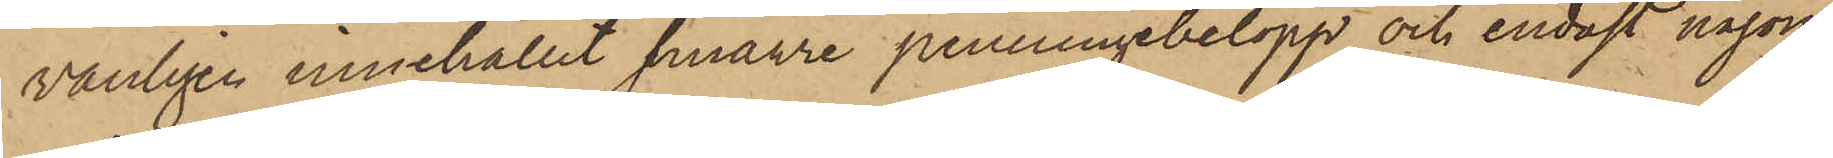vanligen innehållit smärre penningebelopp och endast någon
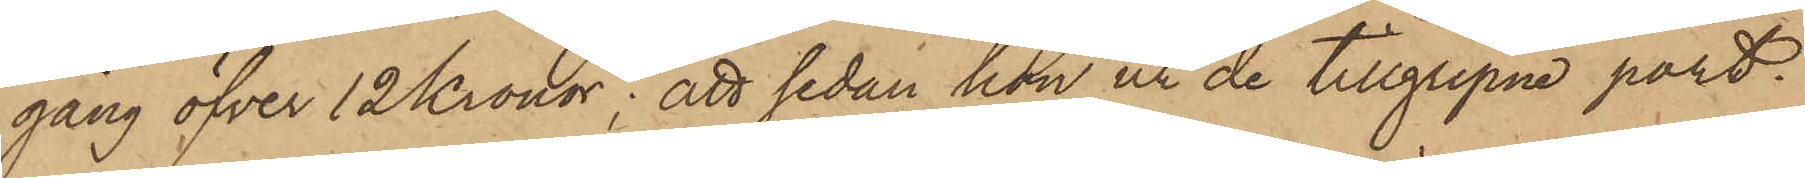gång öfver 12 Kronor; att sedan hon ur de tillgripne port¬
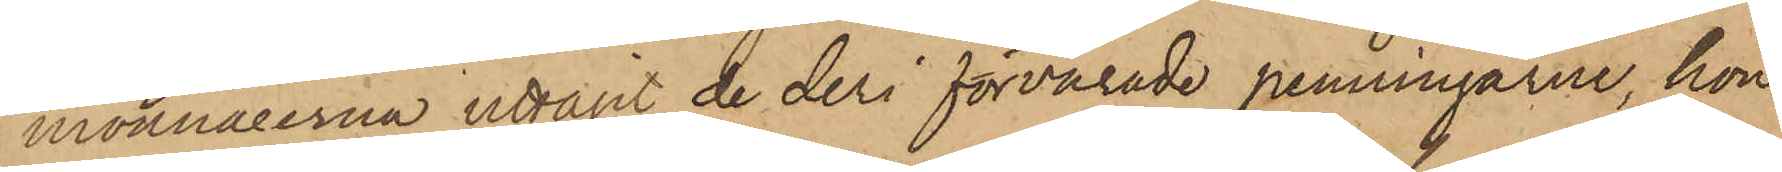monnaierna uttagit de deri förvarade penningarne, hon
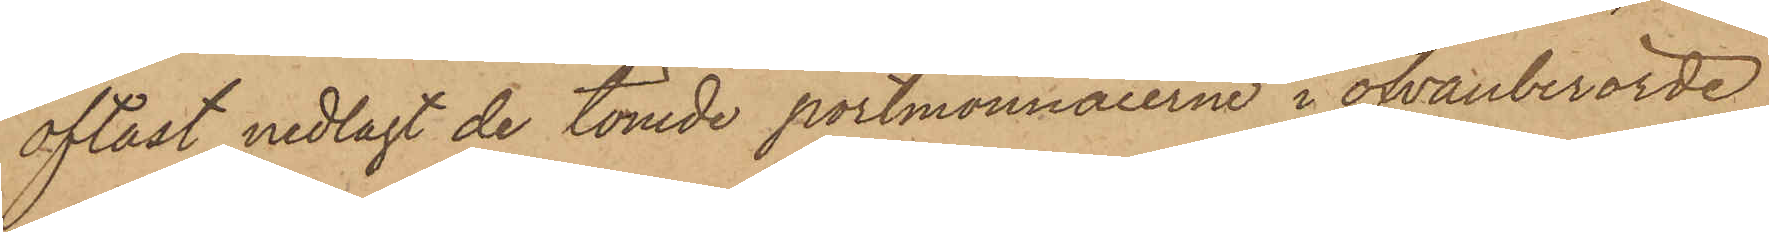oftast nedlagt de tömde portmonnaierne i ofvanberörde
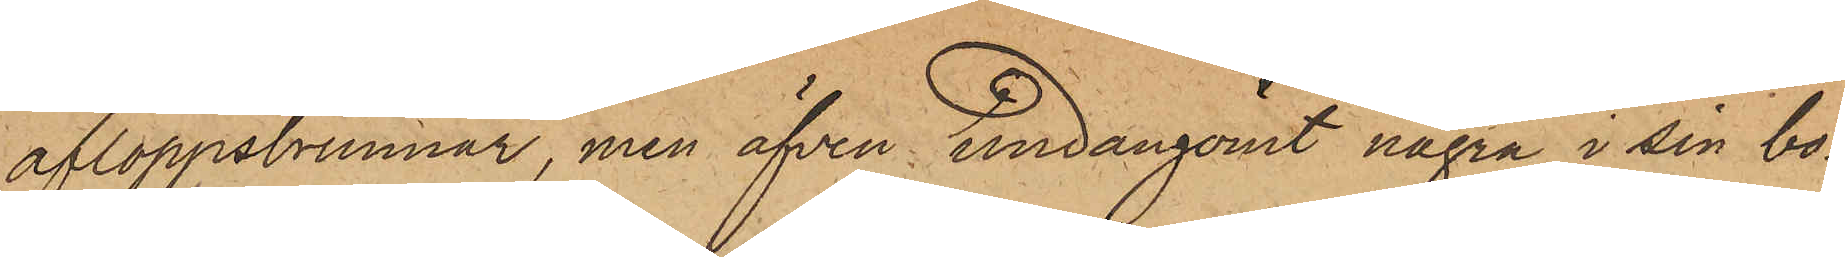afloppsbrunnar, men äfven undangömt några i sin bo¬
